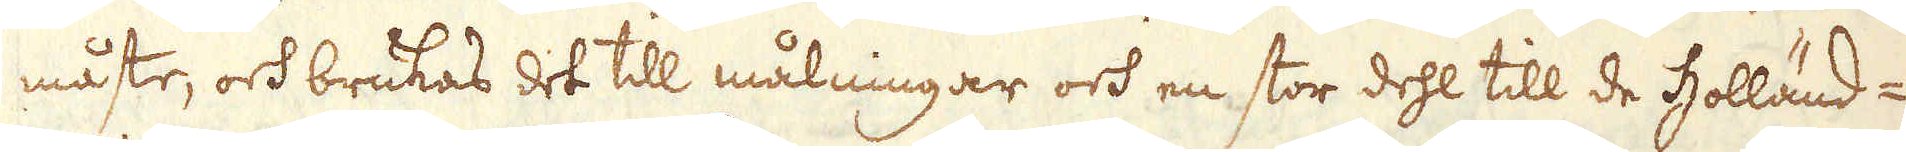måste, och brukas det till målningar och en stor dehl till de Holländ-
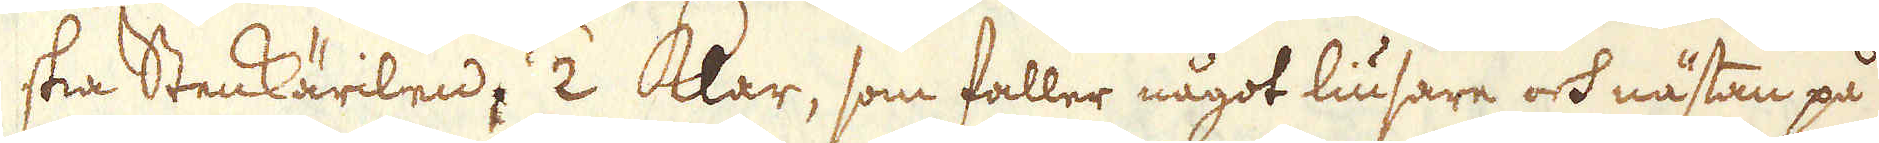ska Stenkärilen; /2 Klar, som faller något liusare och nästan på
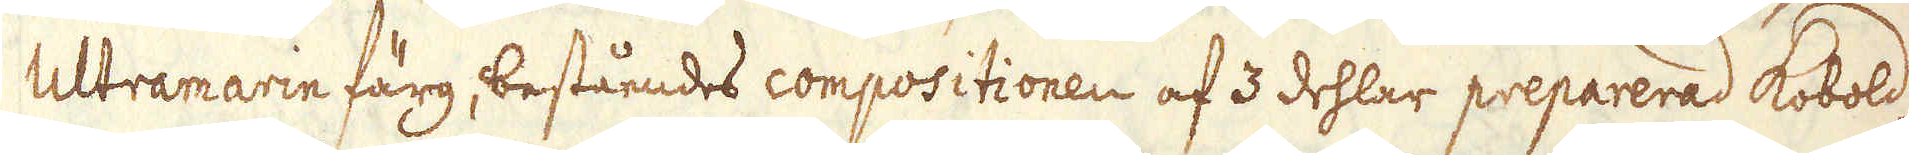Ultramarin färg, beståendes compositionen af 3 dehlar preparerad Kobold,
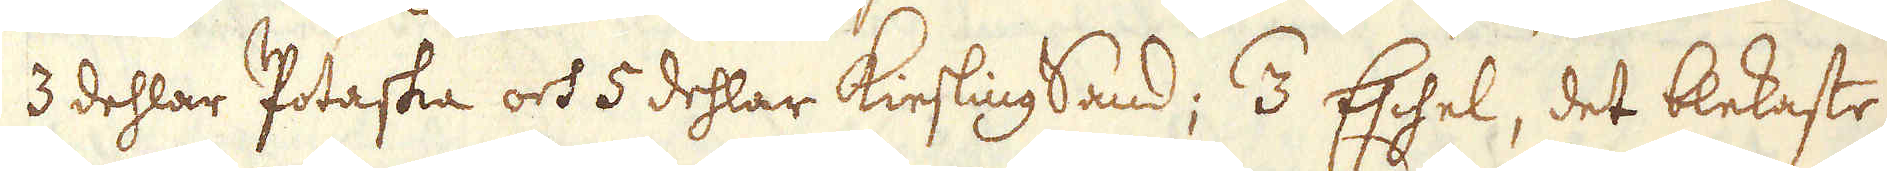3 dehlar Potaska och 5 dehlar KieslingSand; /3 Eschel, det blekaste
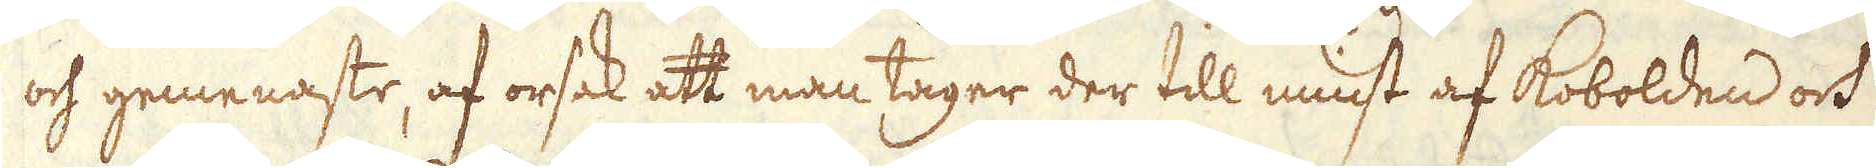och gemenaste, af orsak att man tager der till minst af Kobolden och
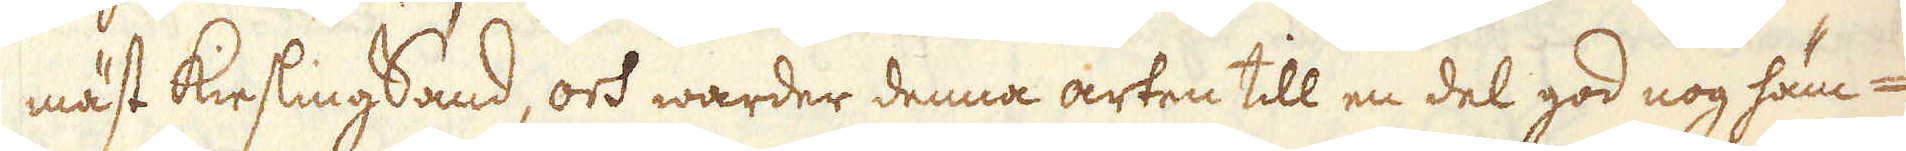mäst KieslingSand, och warder denna arten till en del god nog häm-
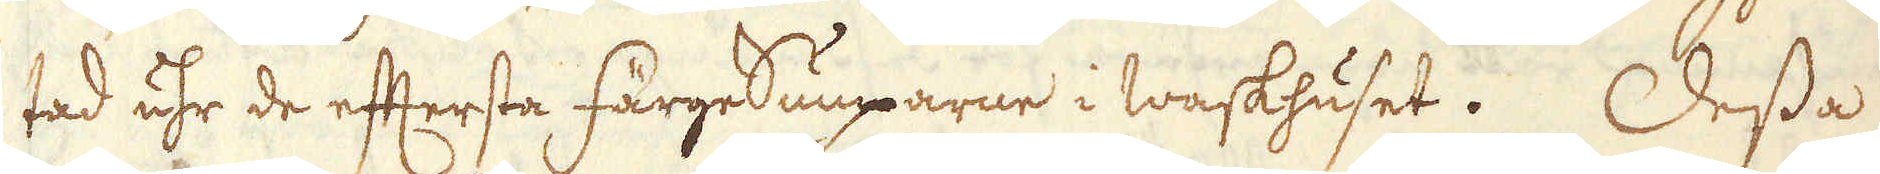tad uhr de eftersta FärgeSumparne i waskhuset. Dessa
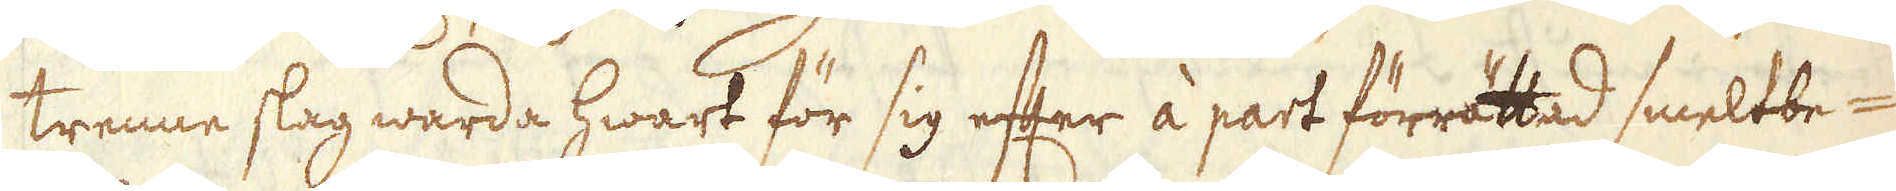trenne slag warda hwart för sig efter à part förrättad smeltbe-
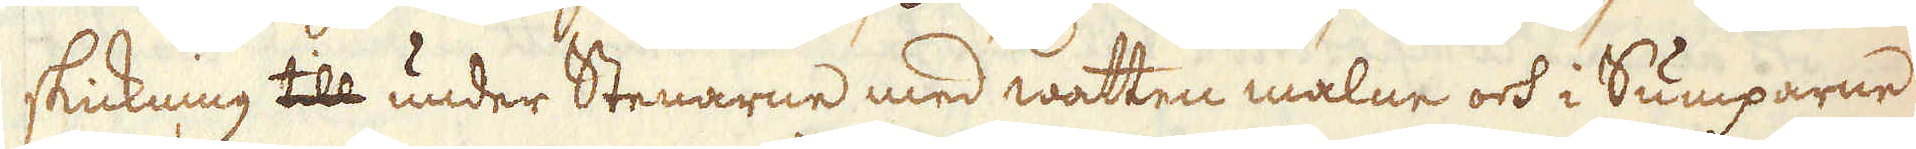skickning till under Stenarne med watten malne och i Sumparne
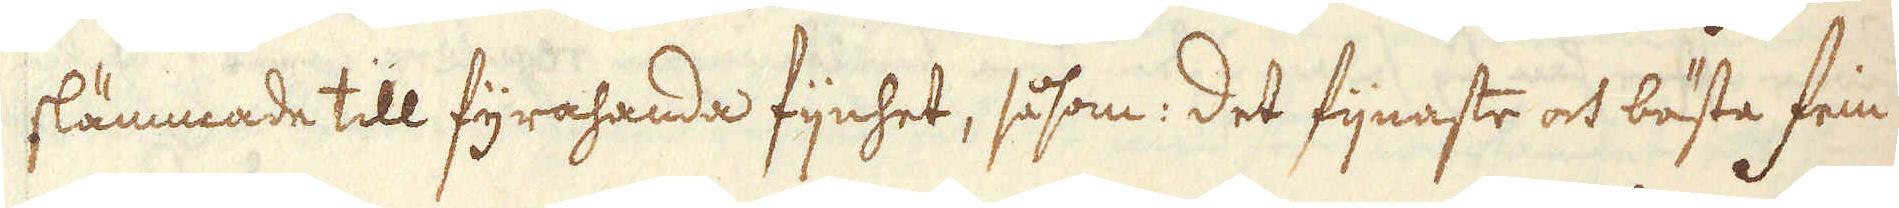slämmade till fyrahanda fijnhet, såsom: det fijnaste och bästa Fein
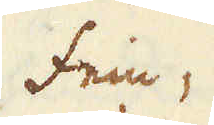Fein,
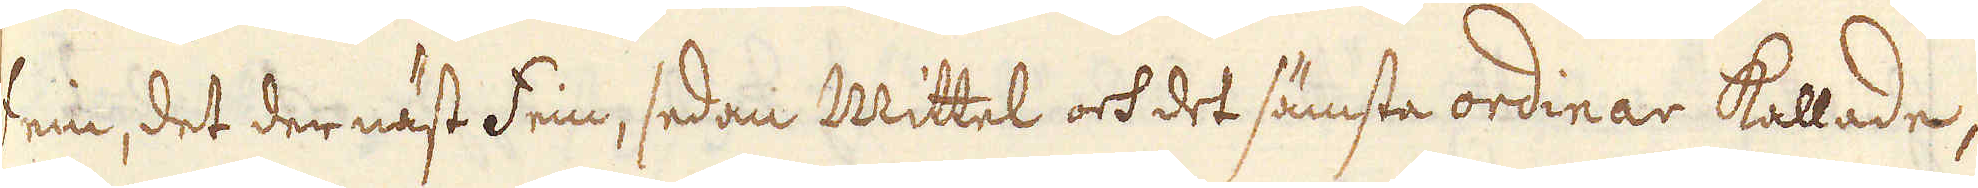Fein, det der näst Fein, sedan Mittel och det sämsta ordinar kallade,
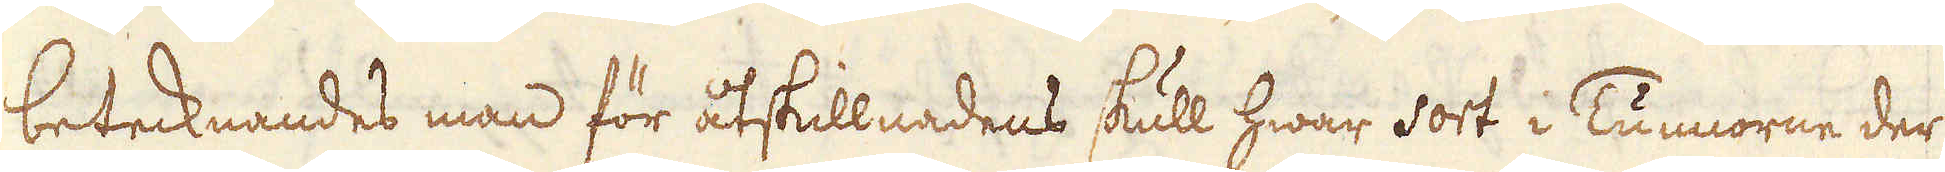betecknandes man för åtskillnadens skull hwar sort i Tunnorne der
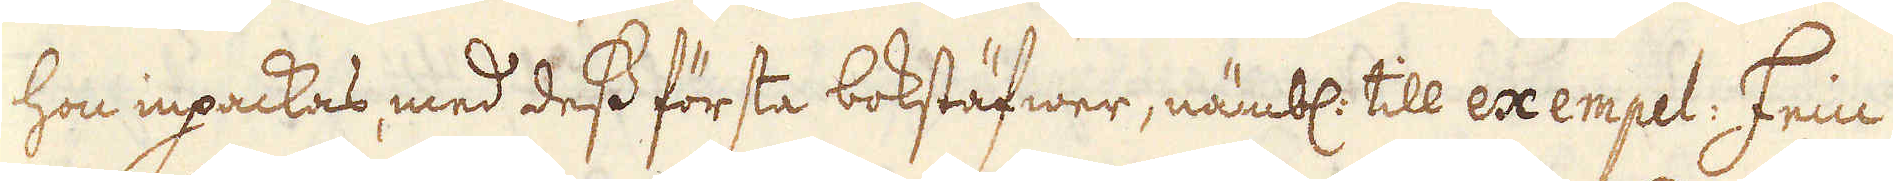hon inpackas, med dess första bokstäfwer, nämbl: till exempel: Fein
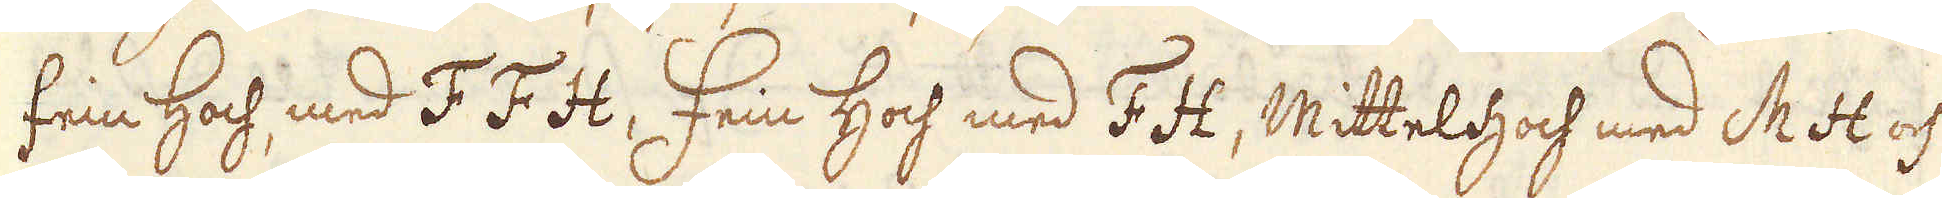Fein Hoch, med F F H, Fein Hoch med F H, Mittel Hoch med M H och
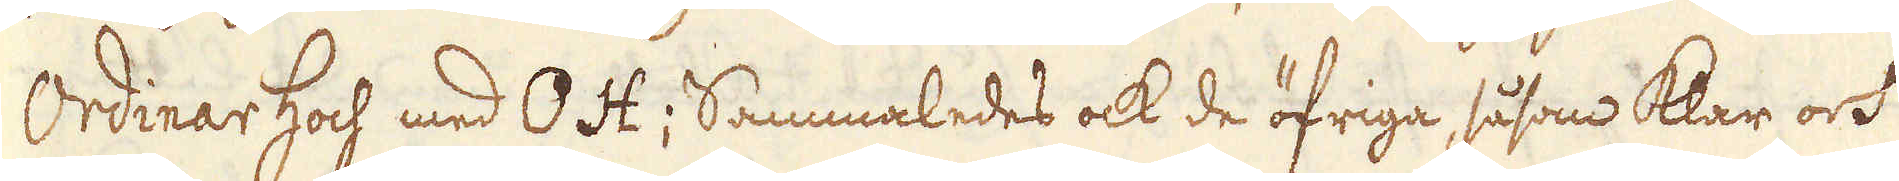Ordinar Hoch med O H; Sammaledes ock de öfriga såsom Klar och
